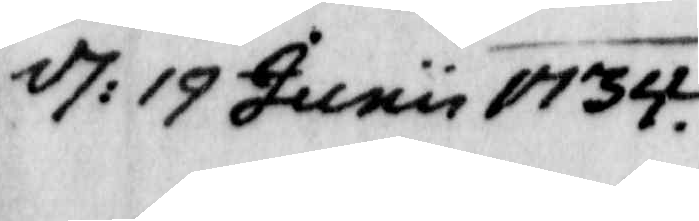d: 19 Junu 1734.
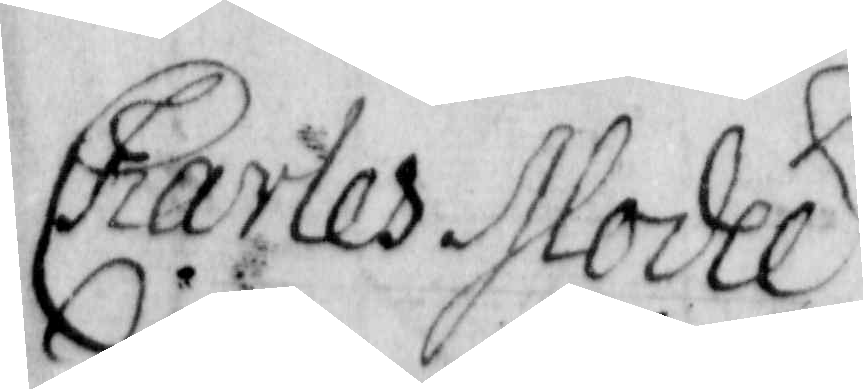Charles Slodee
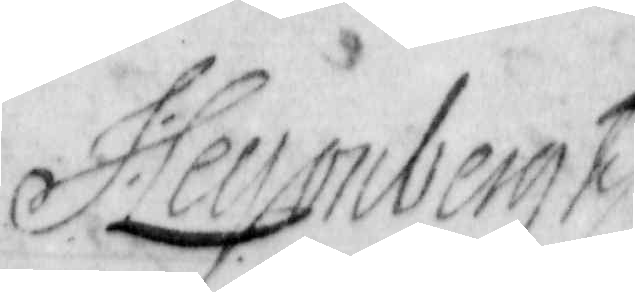Hegerberg
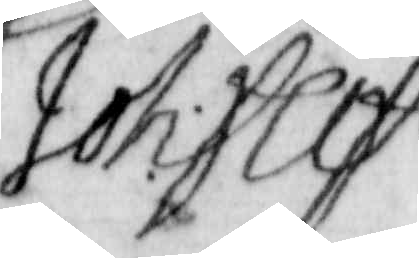Joh: peop
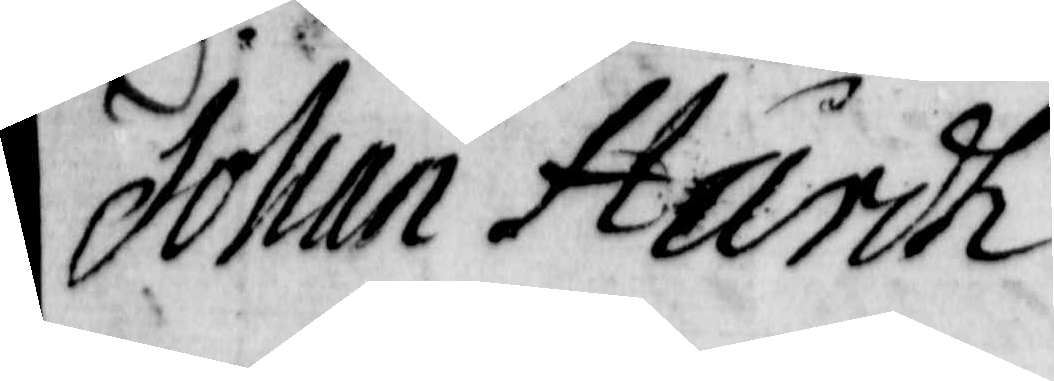Johan Hårdh
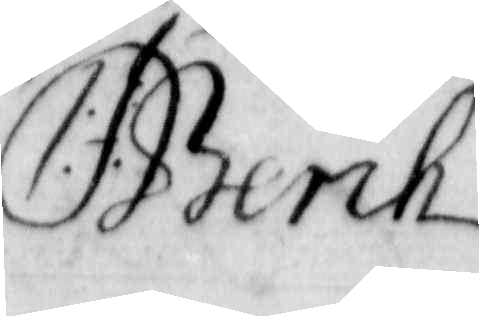C:Berih
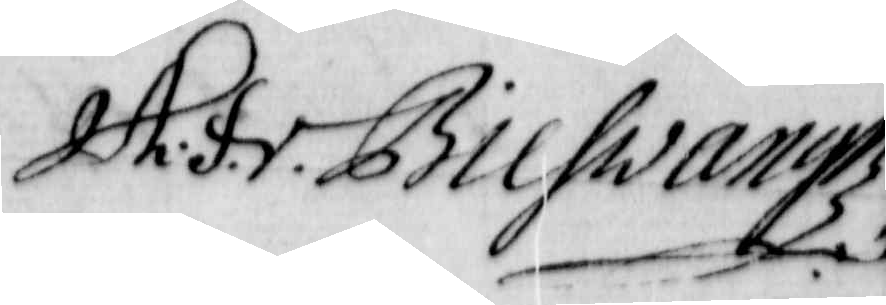H.F.v. Bilhwangz
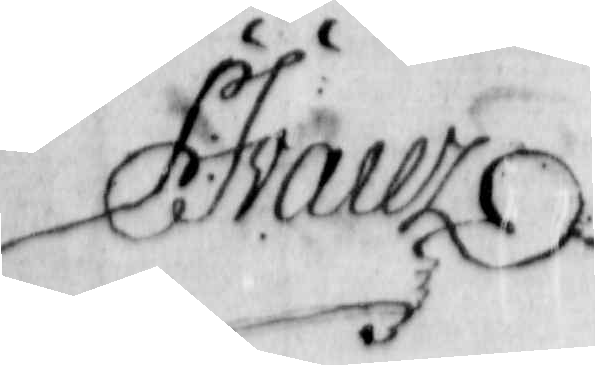F:Jvaeerz
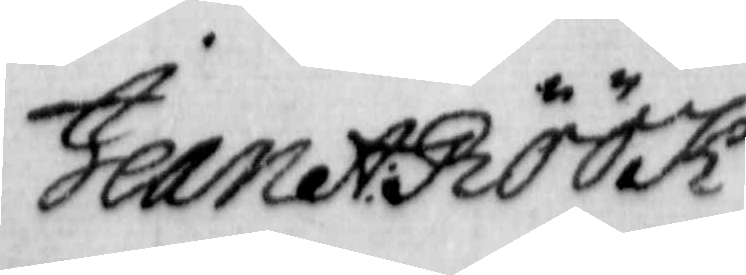Jean A: Böök
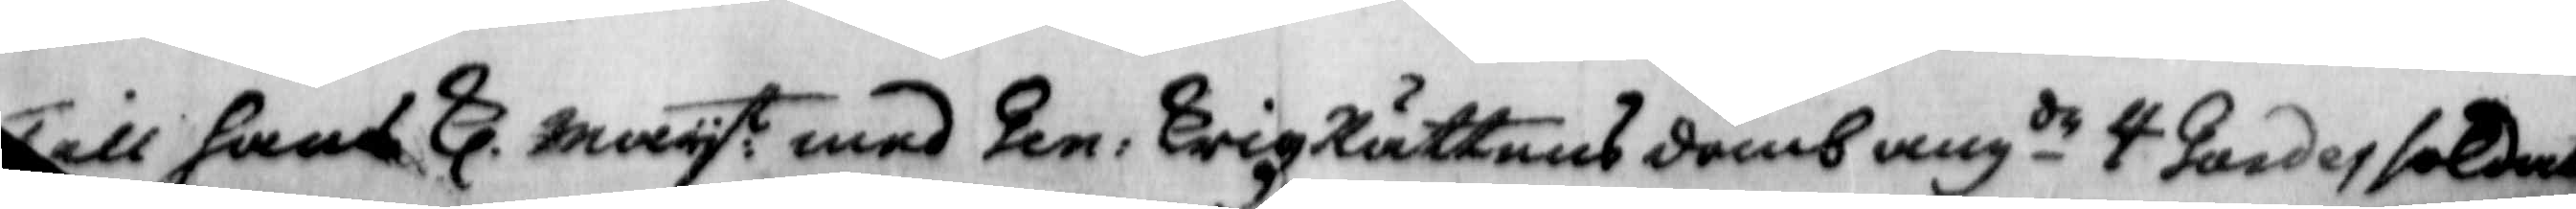Till hans Kl. Mayt: med Gen: KrigRättens domb angde 4 Gardessoldater
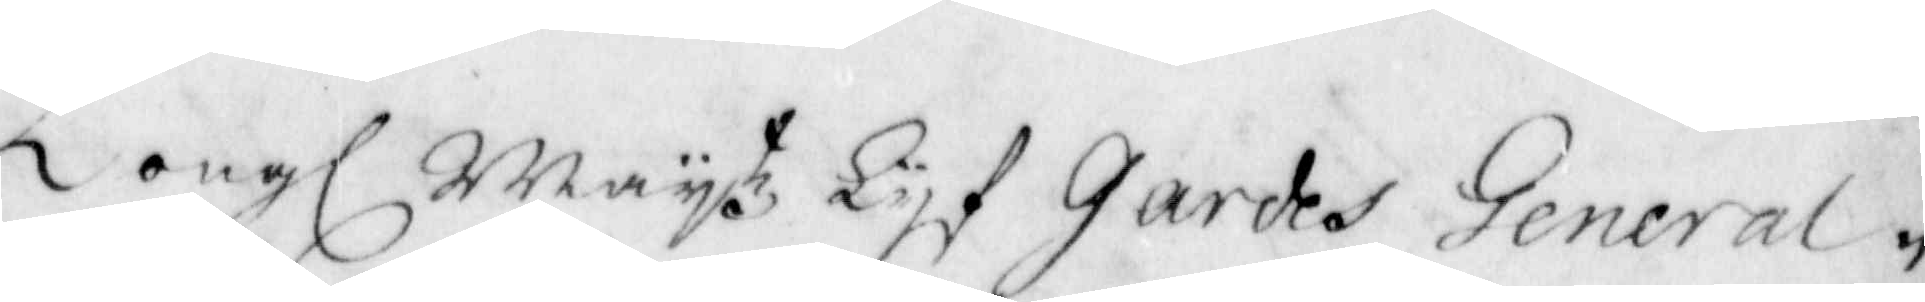Kongl Maytz Lyf Gardes General
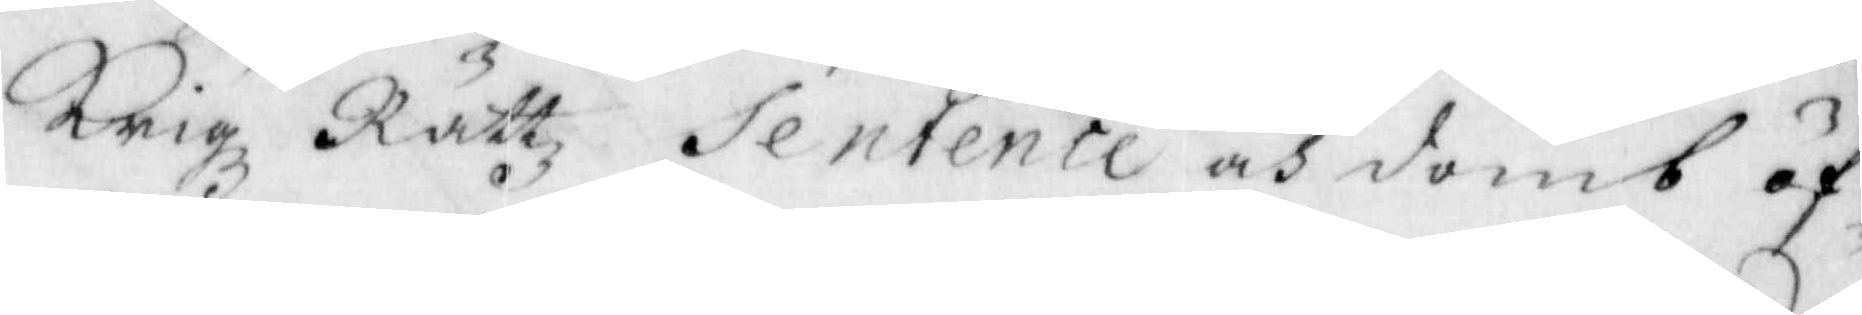Krigz Rättz sentence och domb öf¬
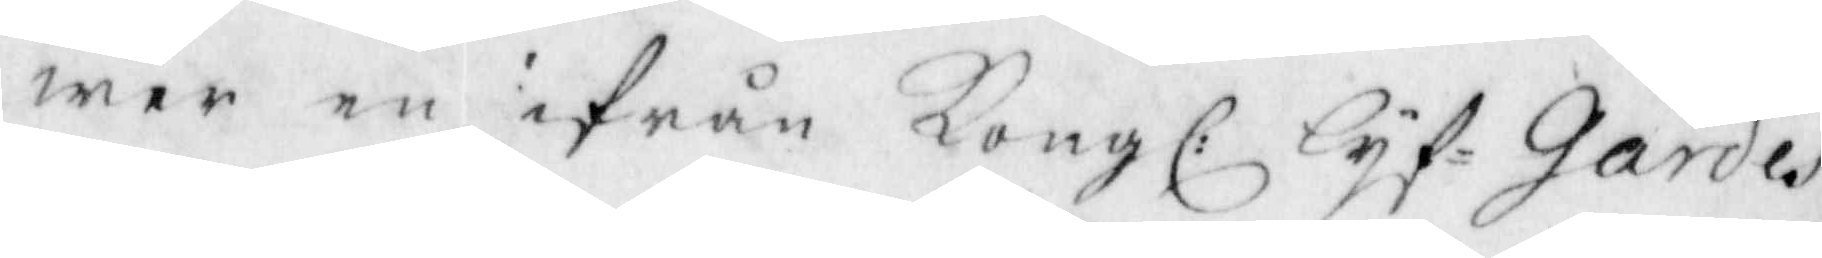wer en ifrån Kongl: Lyf-Gardes
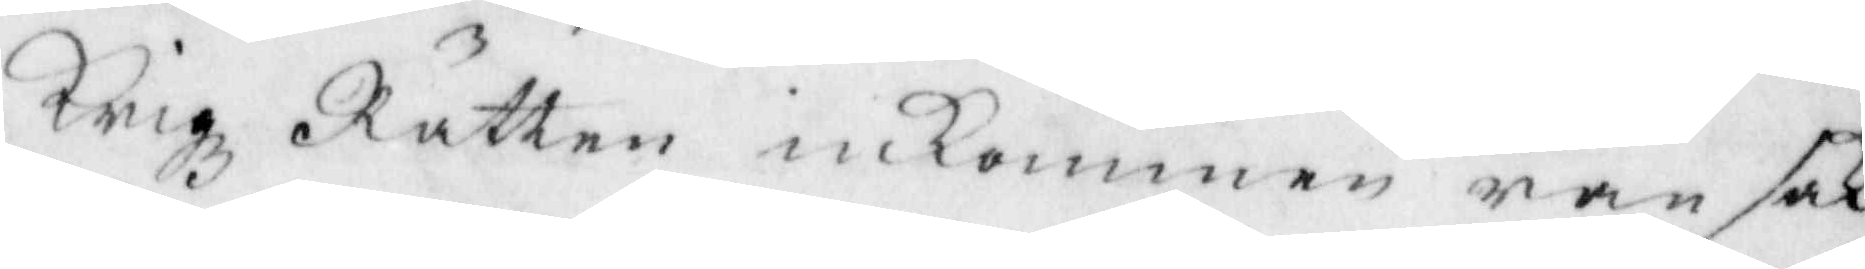Krigz Rätten inkommen ransak¬
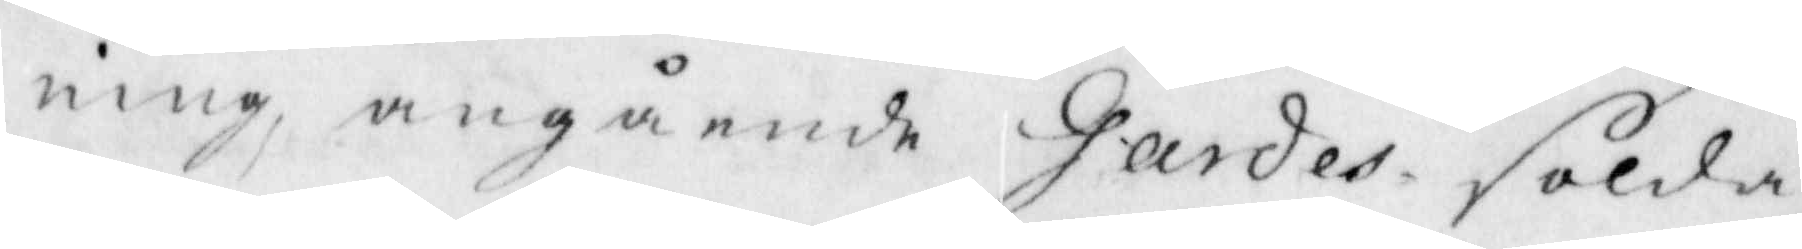ning, angående Gardes solda¬
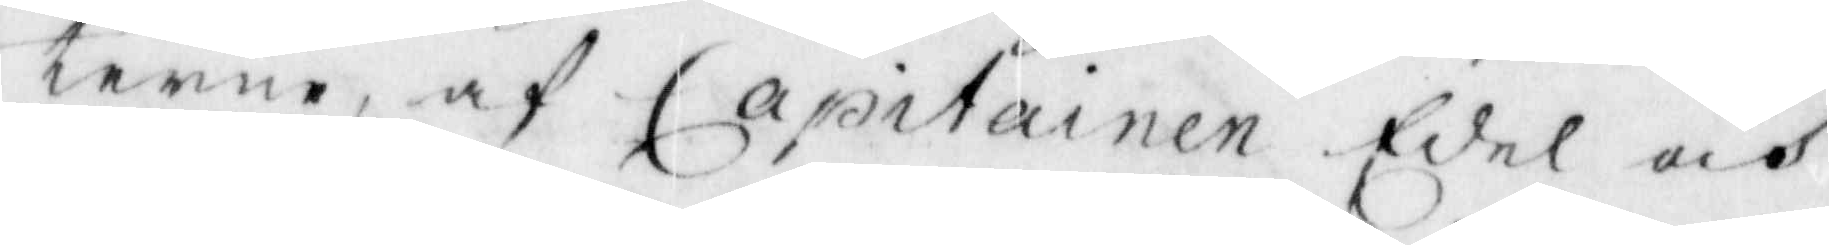terne, af Capitainen edel och
